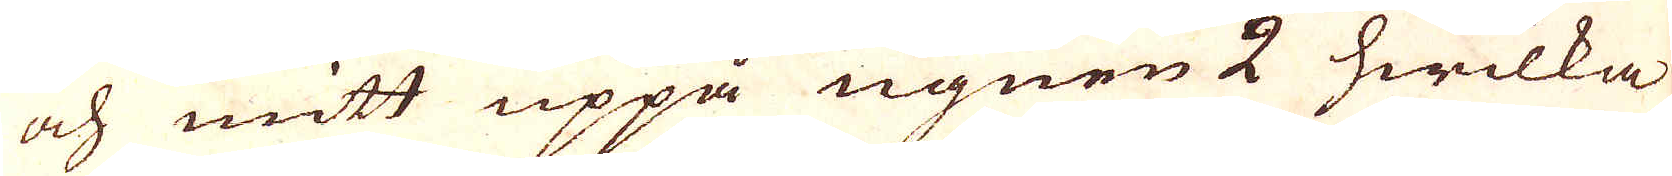och mitt uppå ugnen 2 hwilka
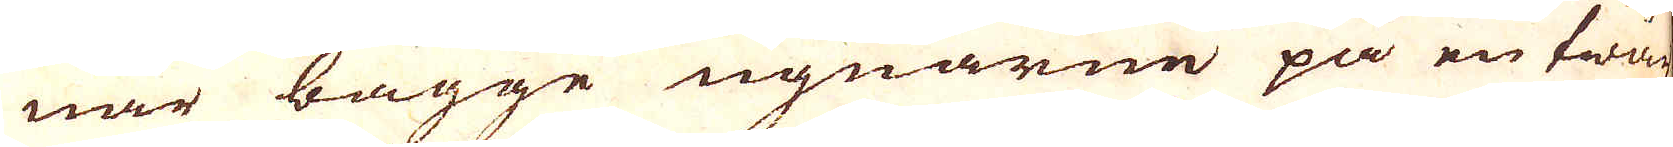när bägge ugnarne på en twär-
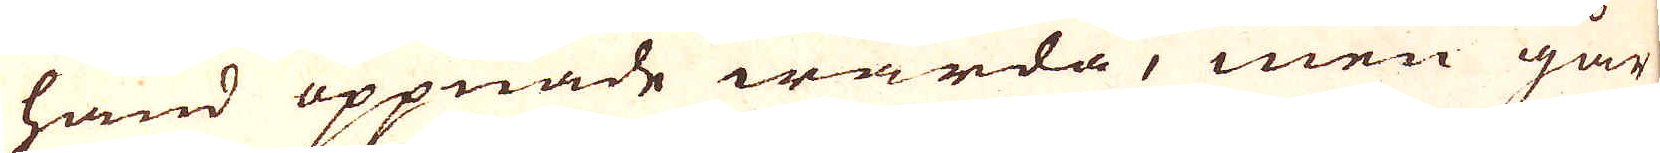hand öppnade warda, men går
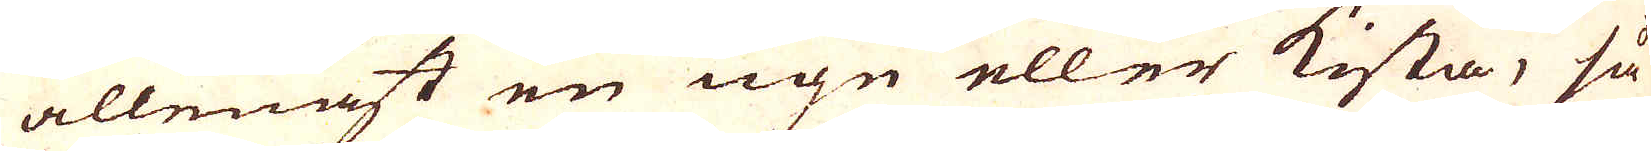allenast en ugn eller kista, så
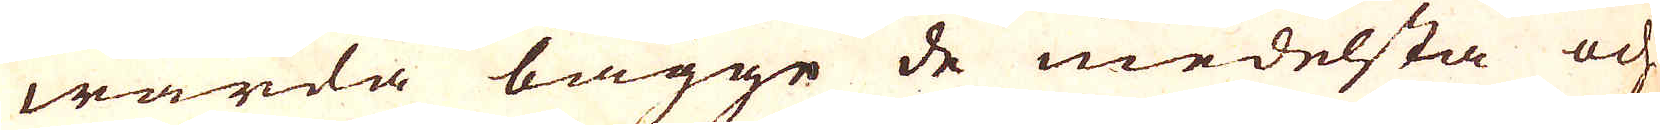warda bägge de medelsta och
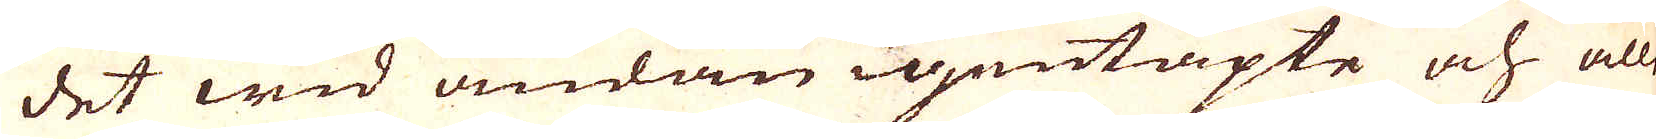det wid ändan igentäpte och alle-
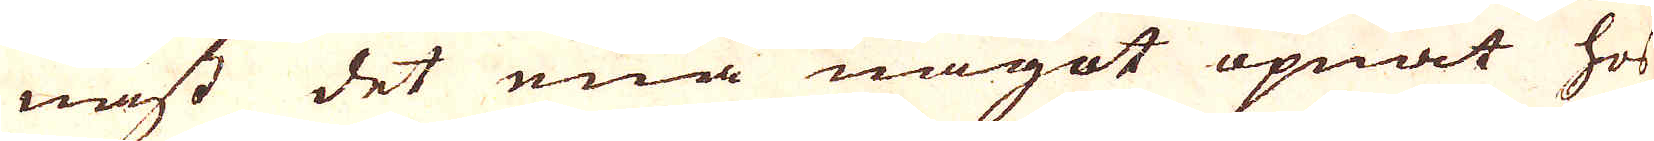nast det ena något öpnat hos
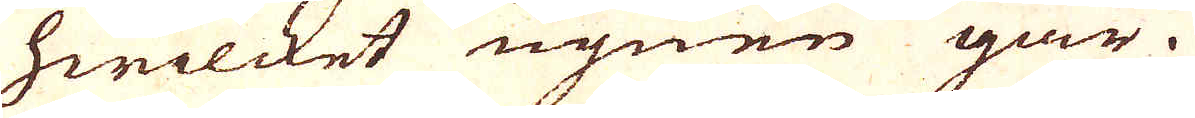hwilcket ugnen går.
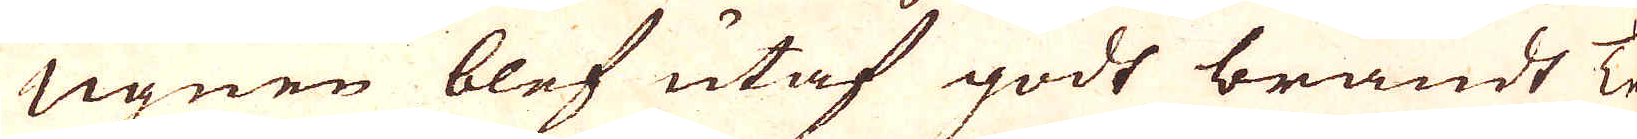Ugnen blef utaf godt brandt Te-
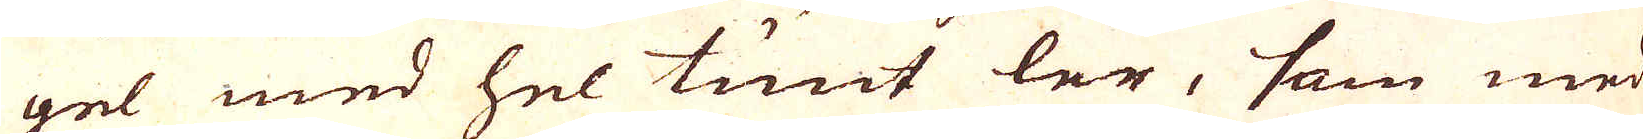gel med hel tunt ler, som med
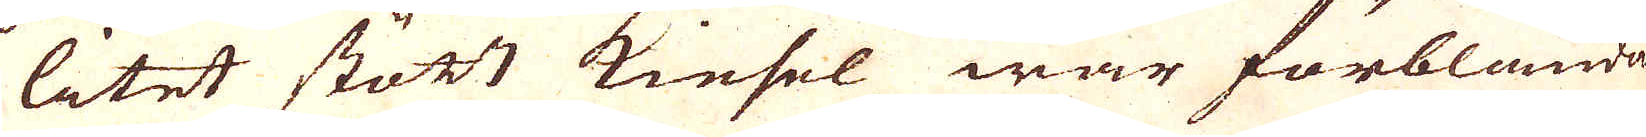litet stött kiesel war förblandat,
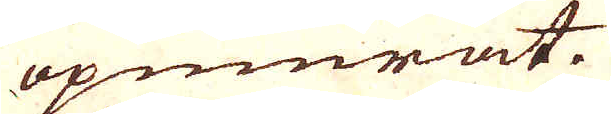upmurat.
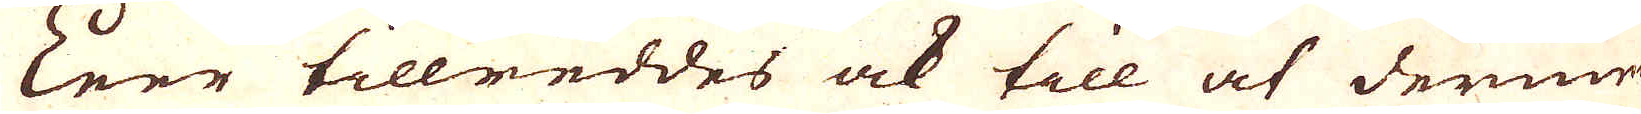Leer tillreddes ock till at dermed
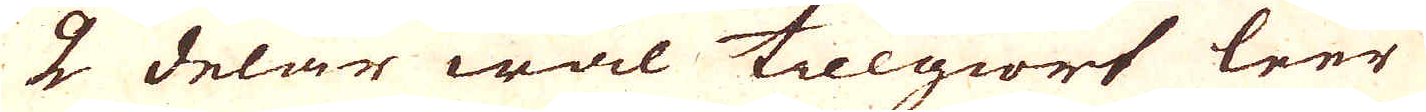2 delar wäl tilgiort leer
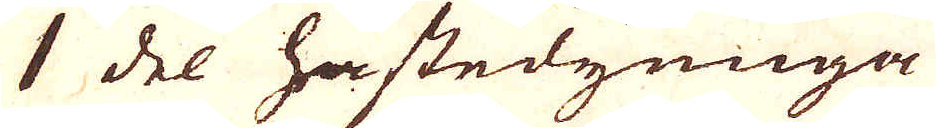1 del hästedynnga
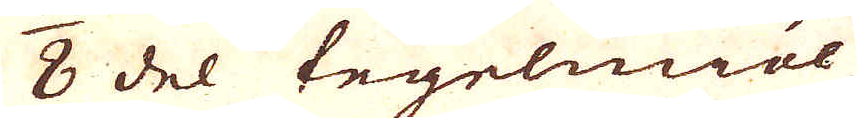1/8 del tegelmiöl
